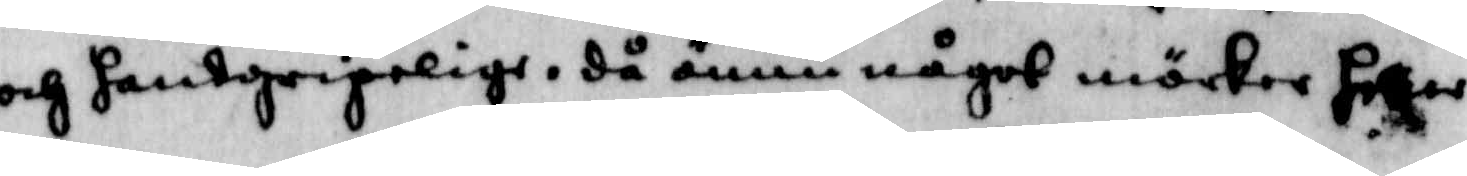och handgripelige, då ännu något mörker heller
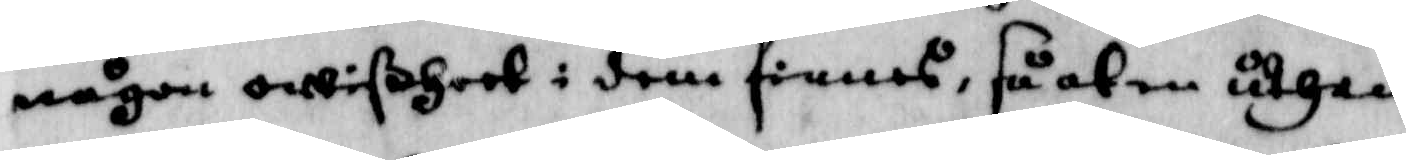någon owißheet i dem finnes, så at en uthan
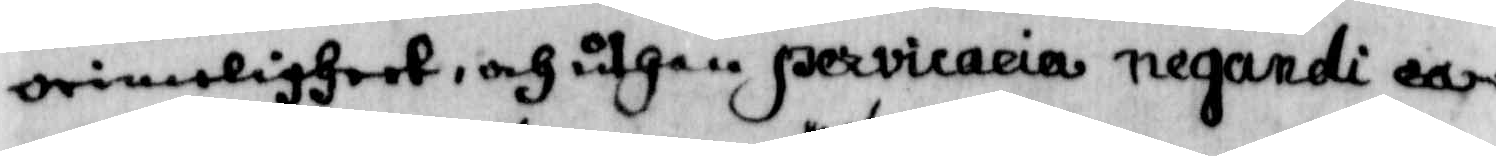orimeligheet, och uthan pervicaeia negandi ea¬
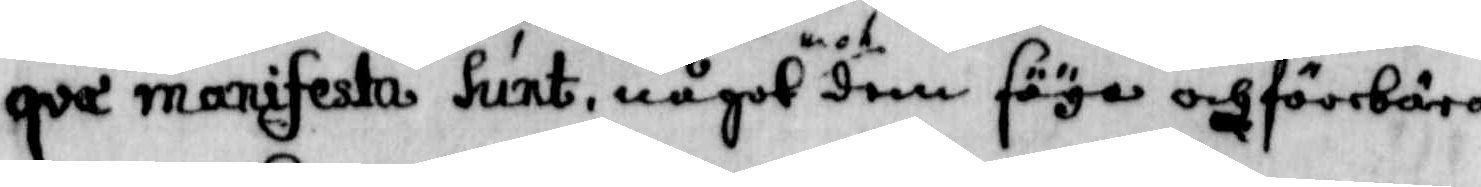qva manifesta hunt, något mot dem säya och föebära
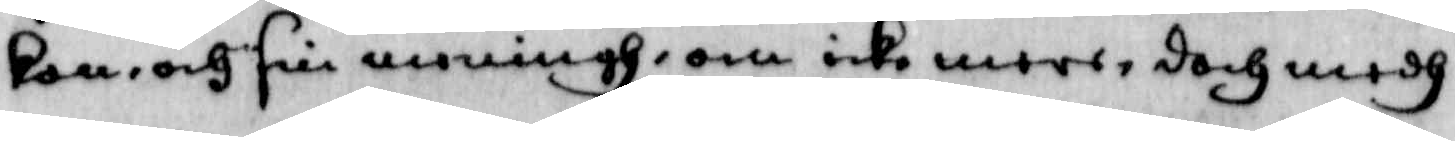kan, och sin meningh, om icke mere, doch medh
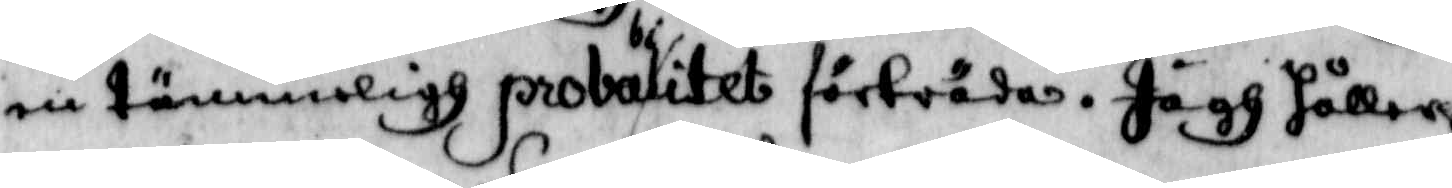en tämmeligh probabilitet förträda. Jagh håller
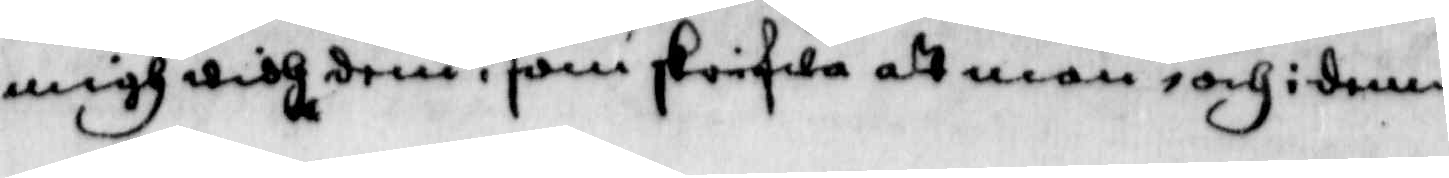migh widh dem , som skrifwa att man, och i denna
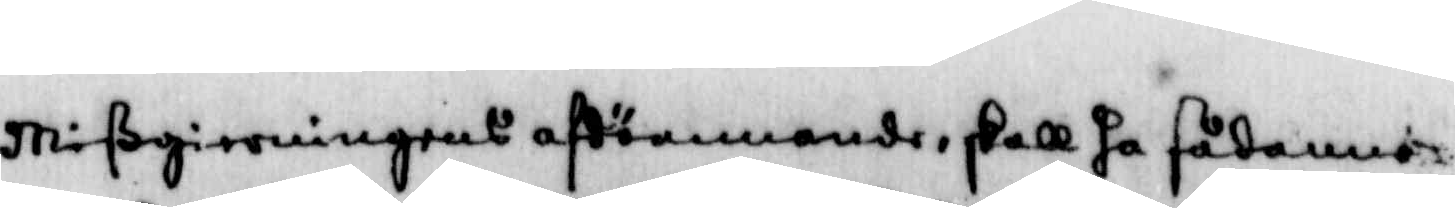Mißgierningens afdömmnde, skall ha sådanne
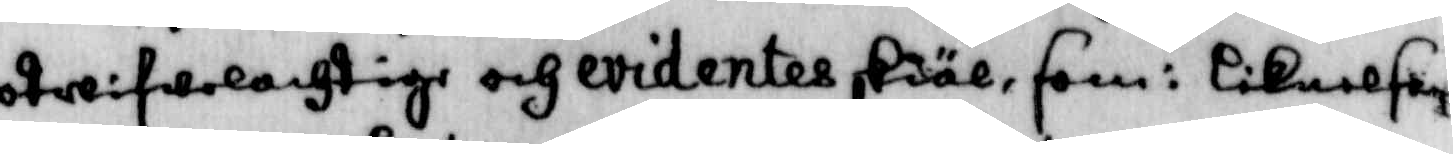otwifwelachtige och evidentes skiäl, som: Liknelsen
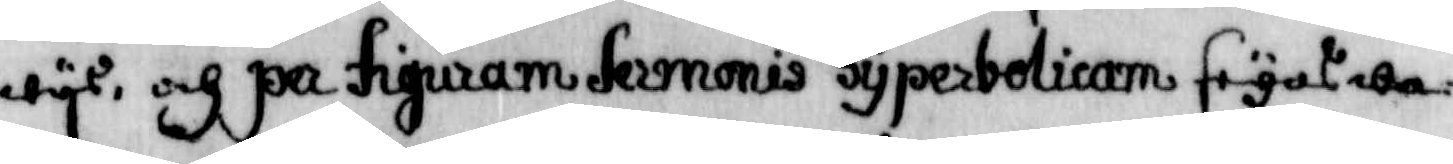wys, och på figuram sermonis syperbolicam seyas wa¬
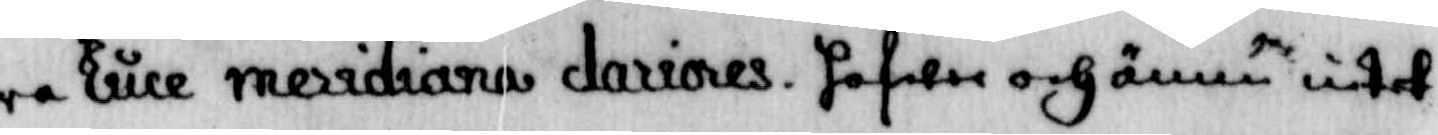ra luce meridiana dariores, hafwer och ännu intet
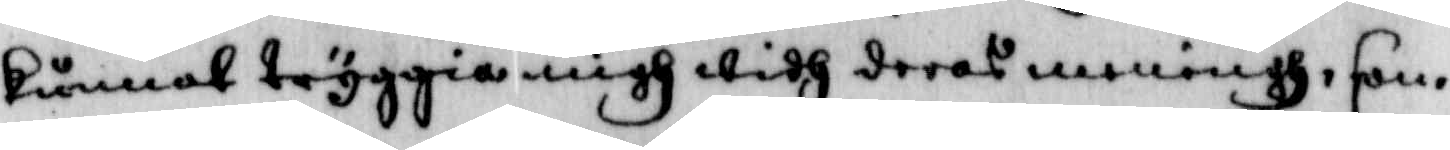kunnat tryggia migh wifh deras medningh, som
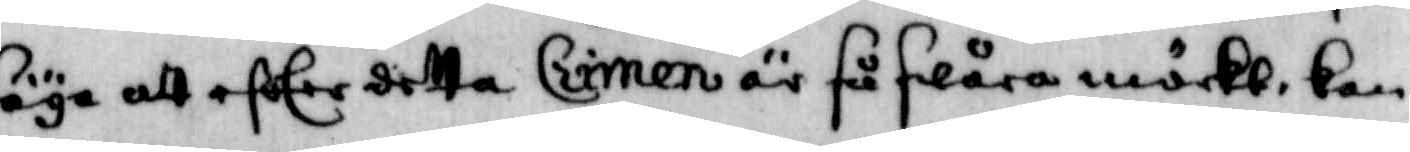säya att efter detta Crimen är så swåra mörckt, kan
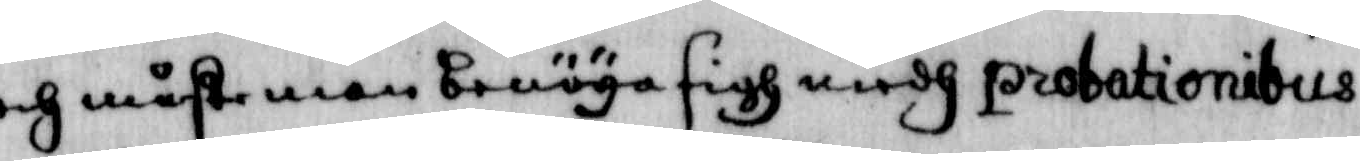och måste man benöya sigh medh probationibus
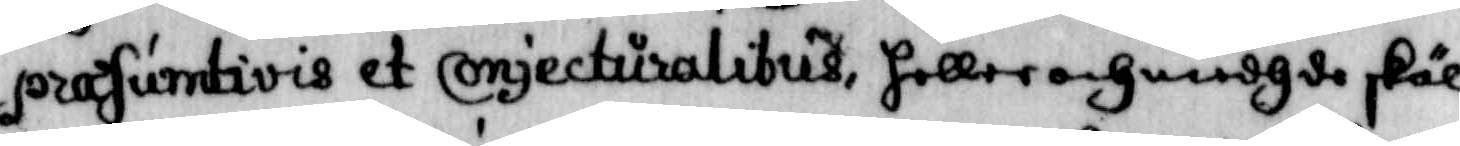prasumtiveis et conjecturalibus, heller och medh de skäl
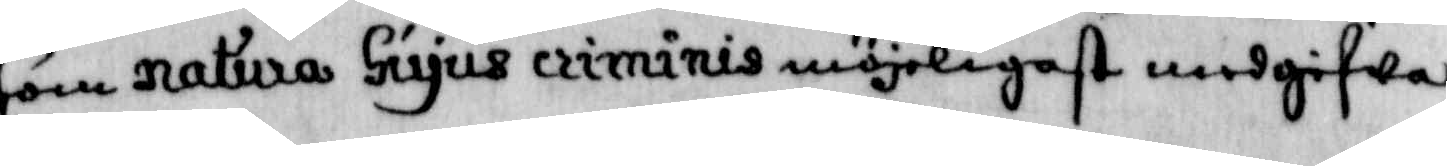som natura hiyus criminis möjeligast medgifwa
